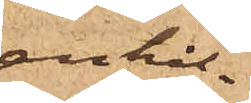anhål¬
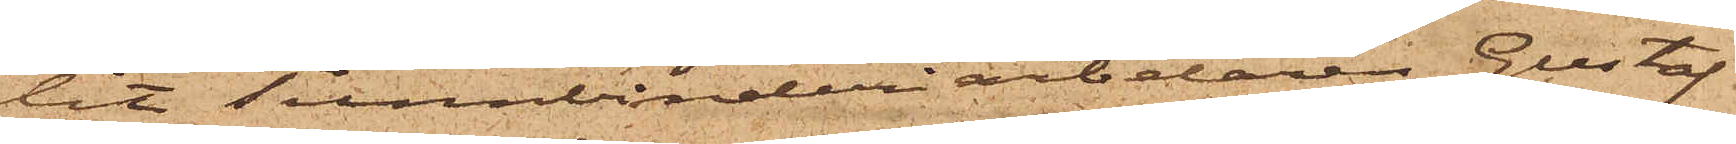lit Tunnbinderiarbetaren Gustaf
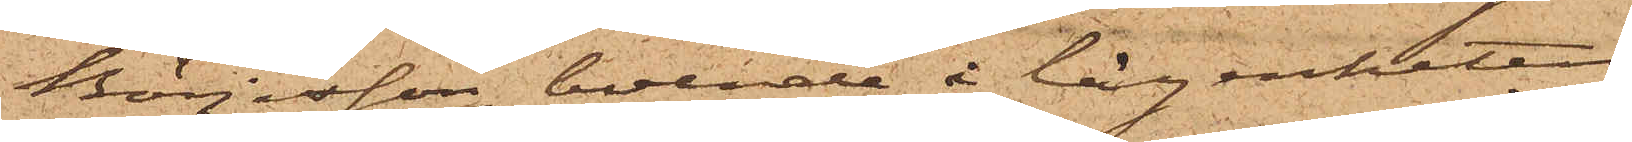Börjesson, boende i lägenheten
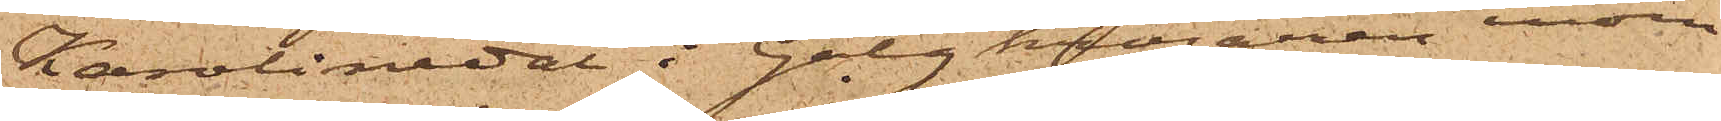Karolinedal i Galgkrogarne inom
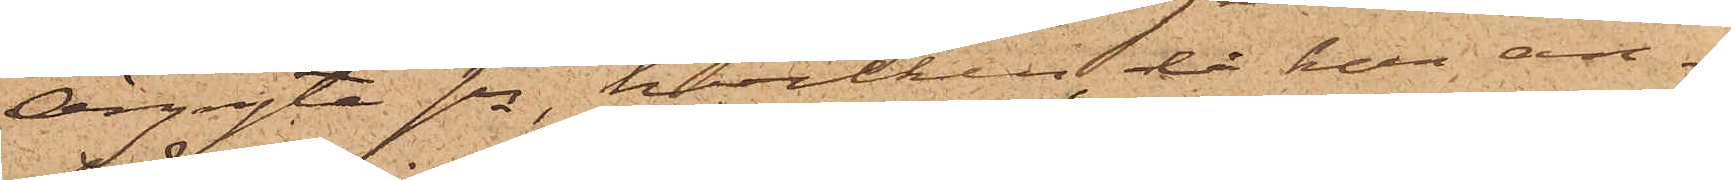Örgryte sn, hvilken, då han an¬
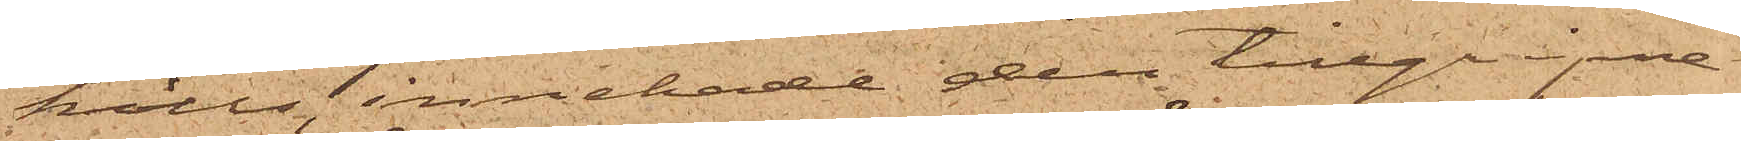hölls, innehade den tillgripne
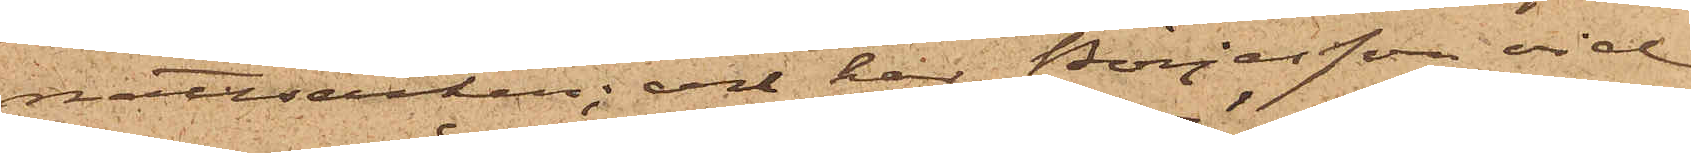nattsäcken; och har Börjesson vid
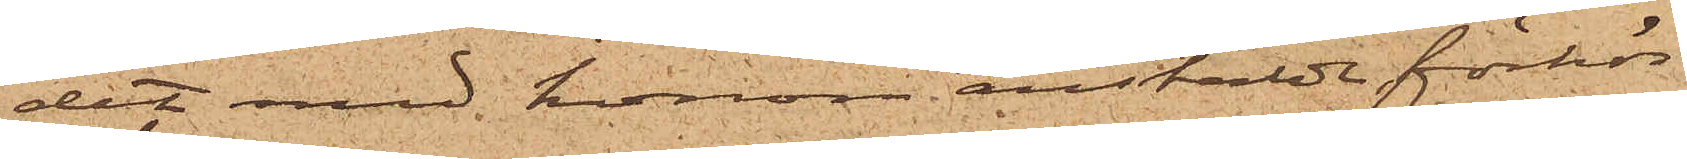det med honom anstäldt förhör
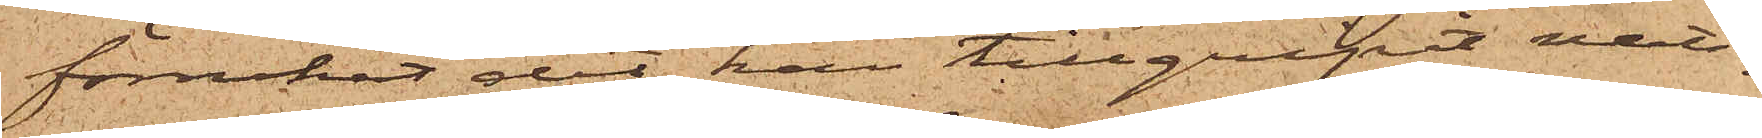förnekat det han tillgripit natt¬
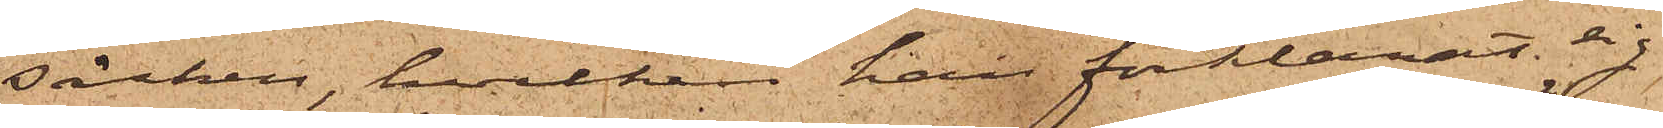säcken, hvilken han förklarat sig
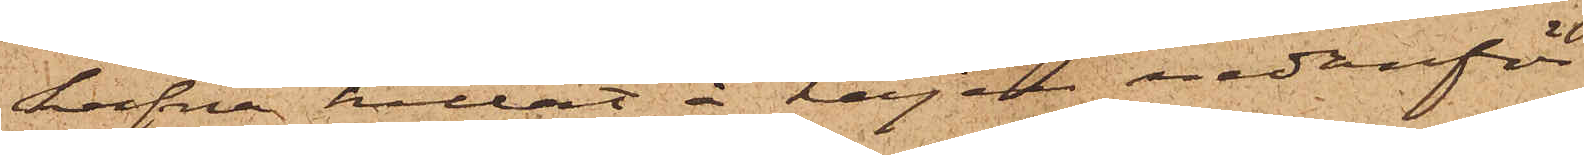hafva hittat å kajen nedanför
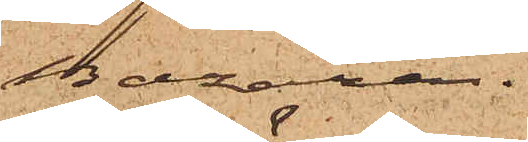Bazaren.
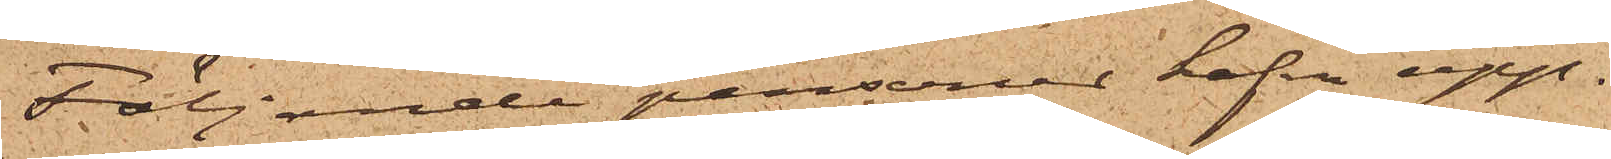Följande personer hafva upp¬
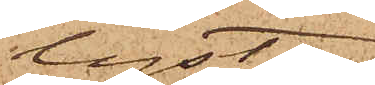lyst:
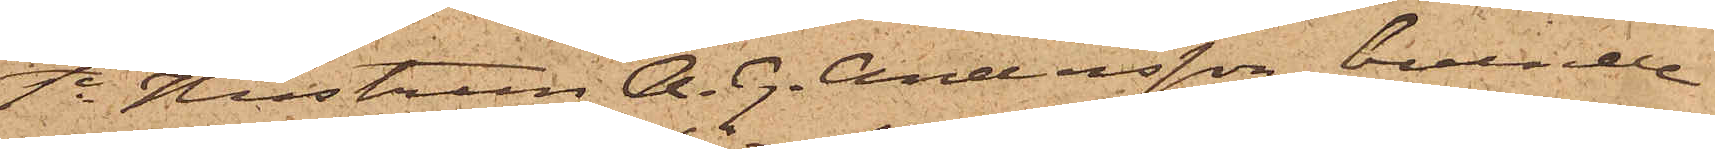1o Hustrun A. G. Andersson, boende
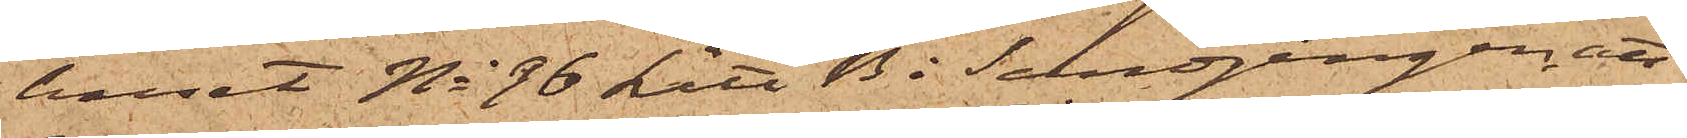huset No 36 Litt B i Sandgången, att
